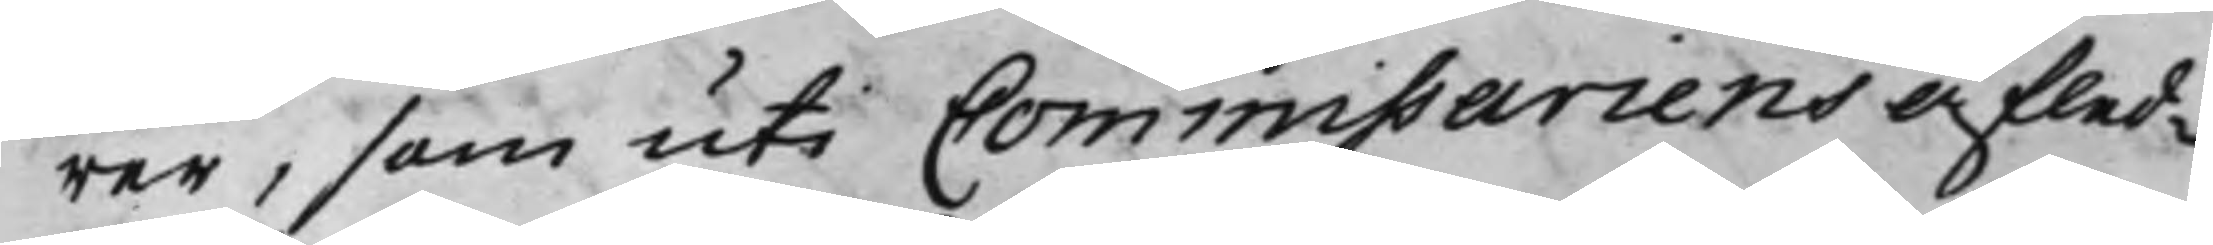rer, som uti Commissariens Afled¬
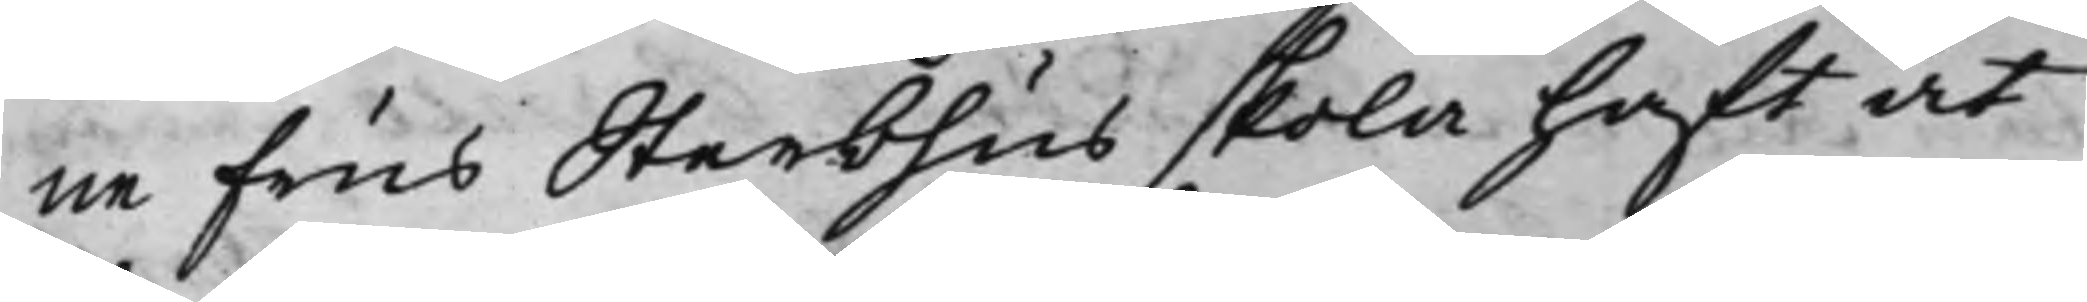ne Frus Sterbhus skola haft at
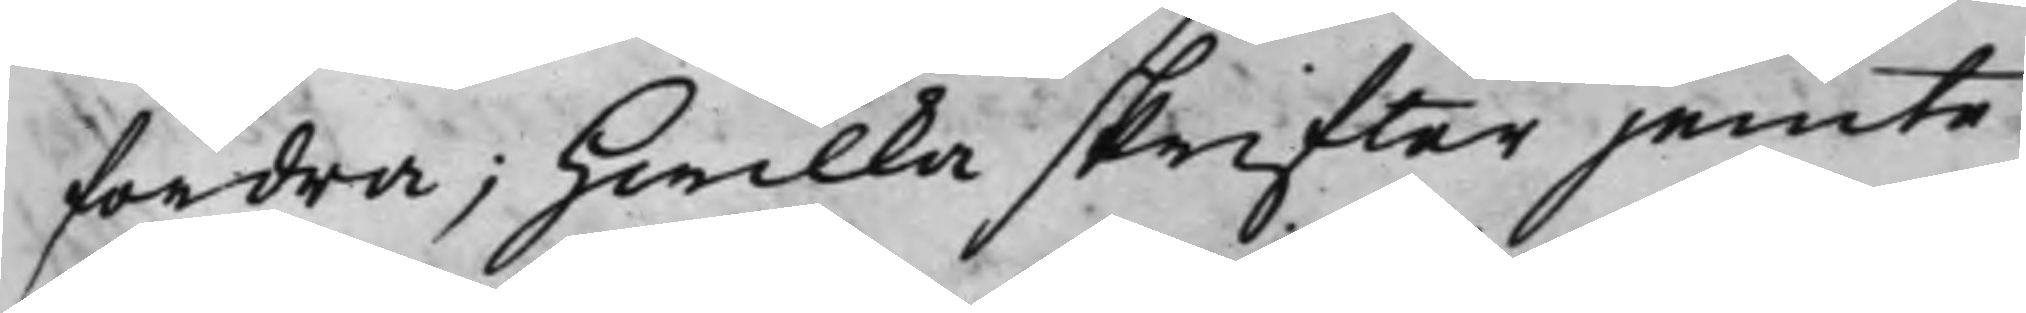fordra; Hwilka skrifter jemte
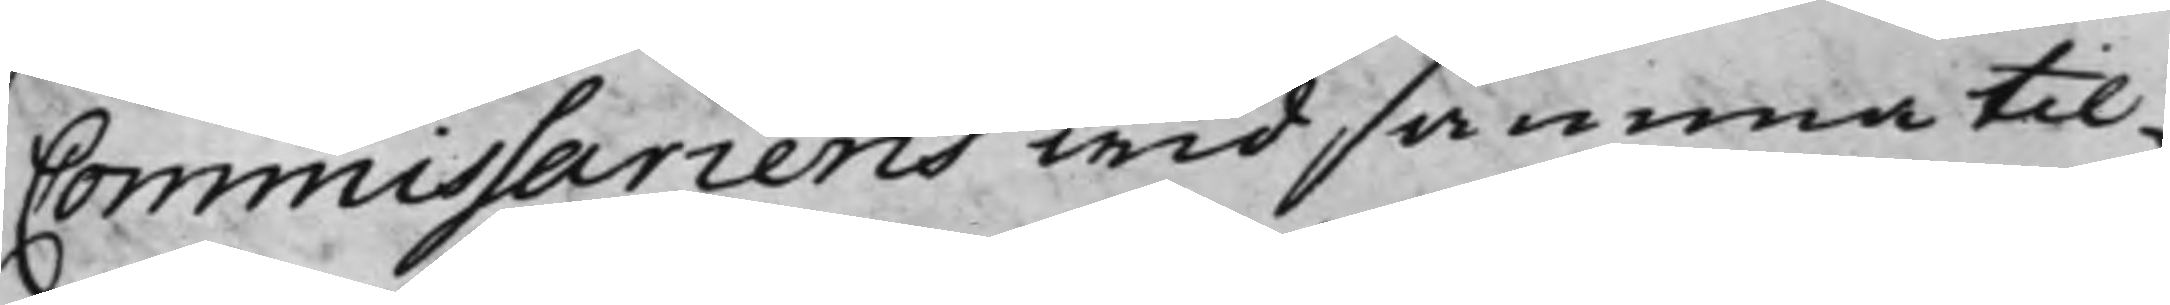Commissariens wid samma til¬
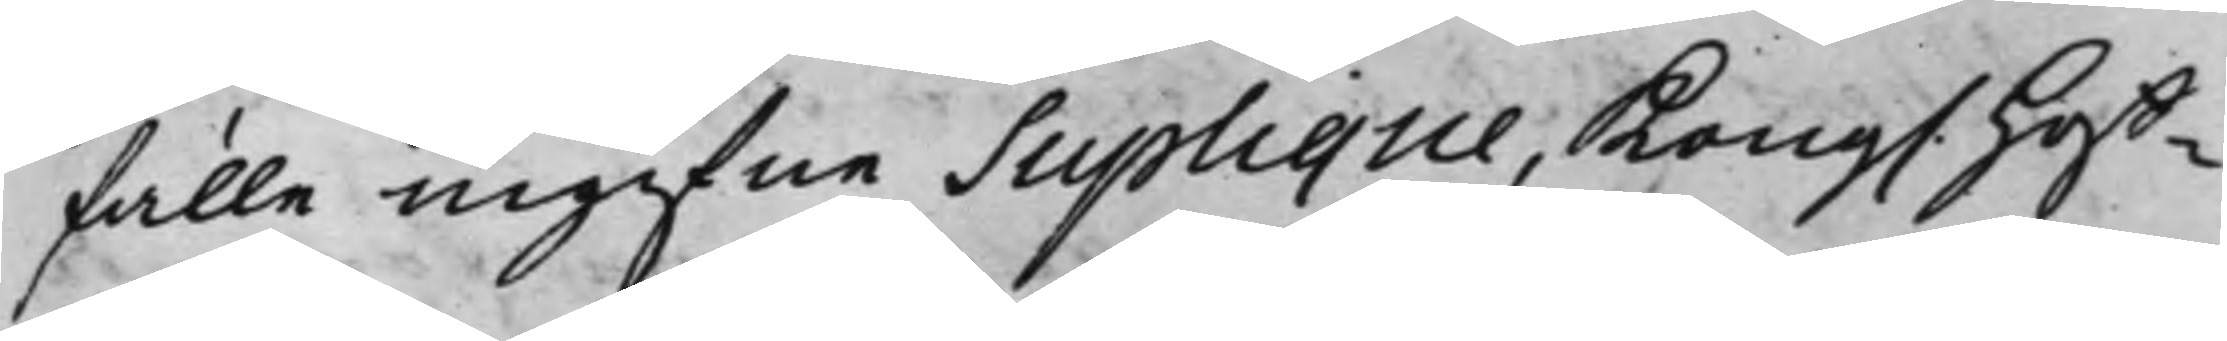fälle ingifne Suplique, Kong. Hoff¬
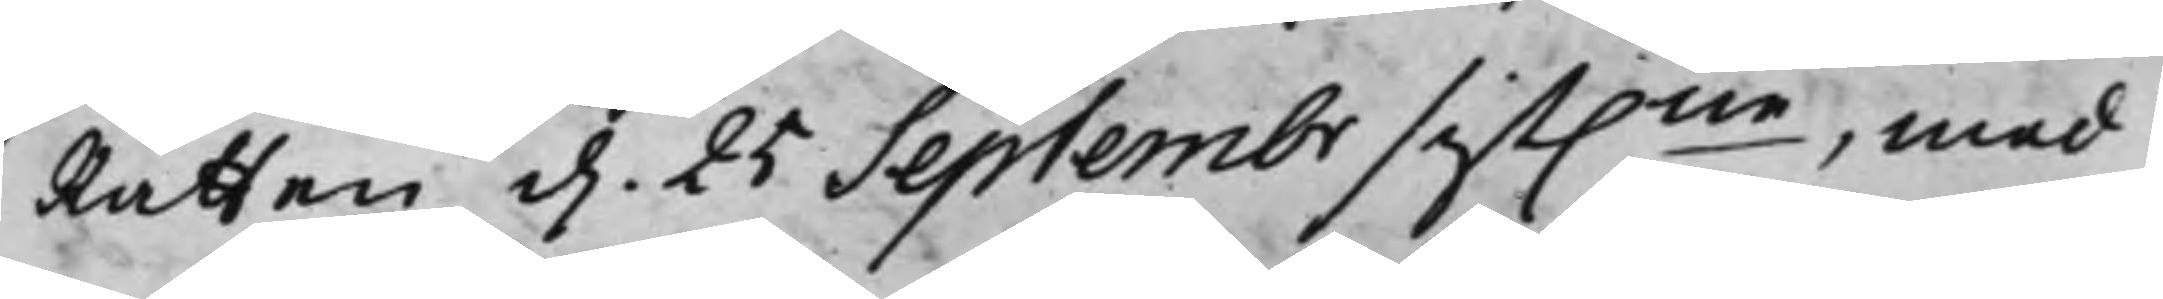Rätten d. 25 Septembr sist.ne, med
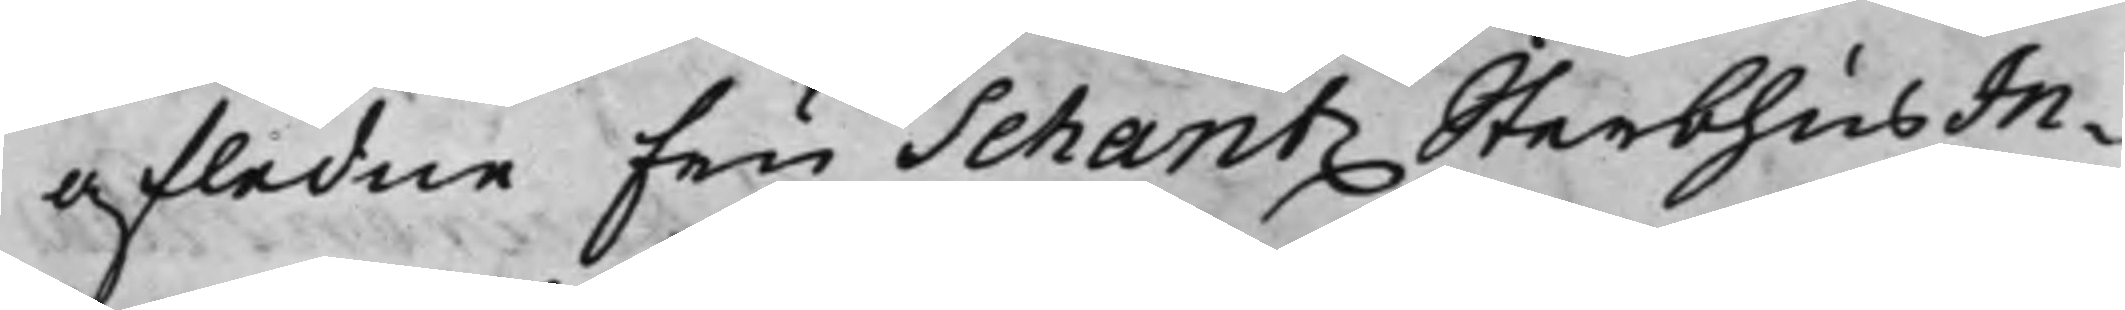afledne Fru Schantz SterbhusIn¬
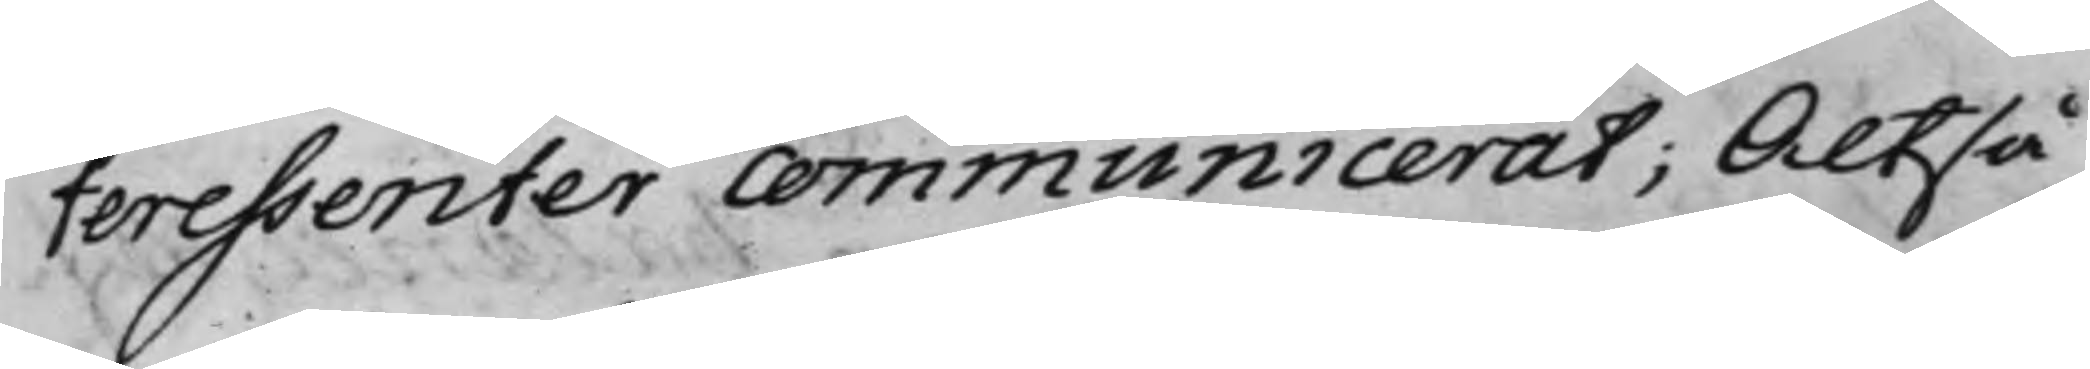teressenter communicerat; Altså
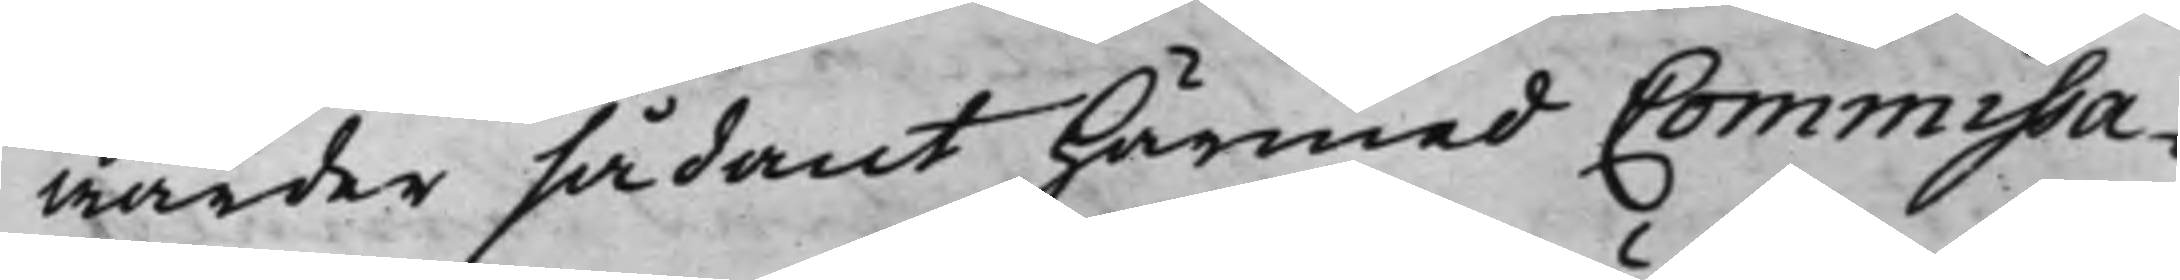warder sådant härmed Commissa¬
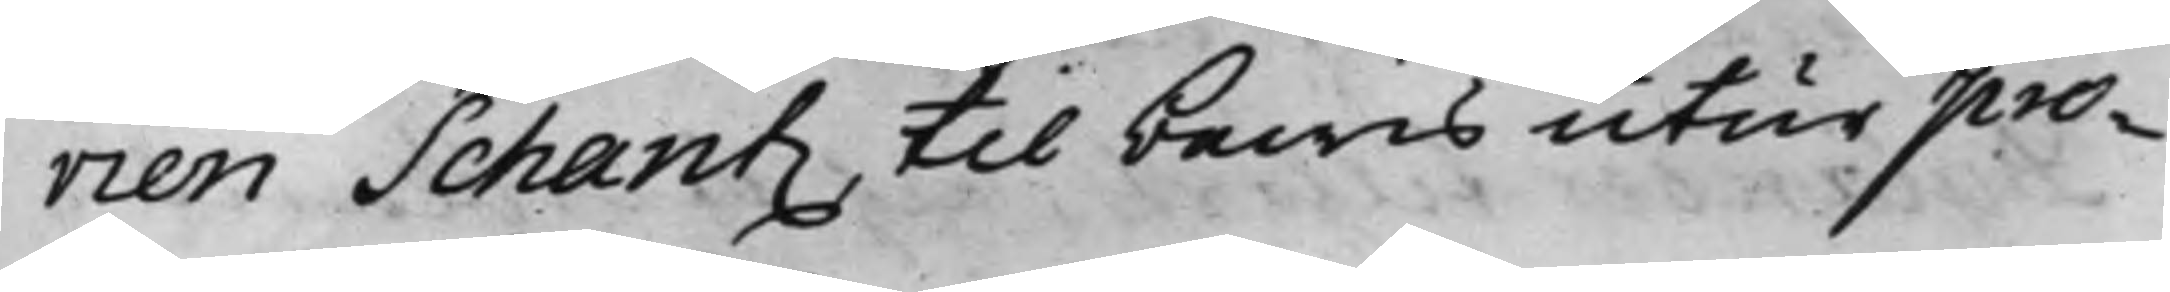rien Schantz till bewis utur pro¬
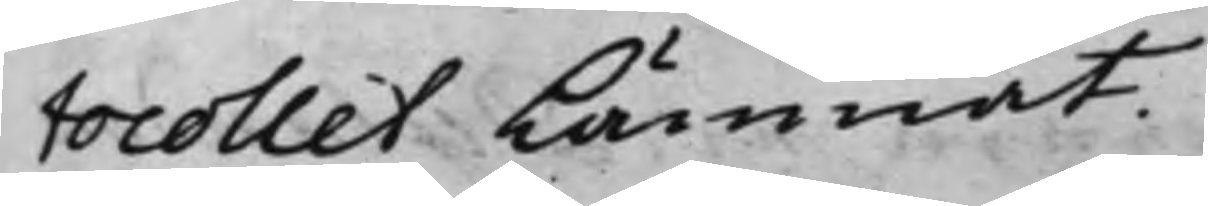tocollet lämnat.
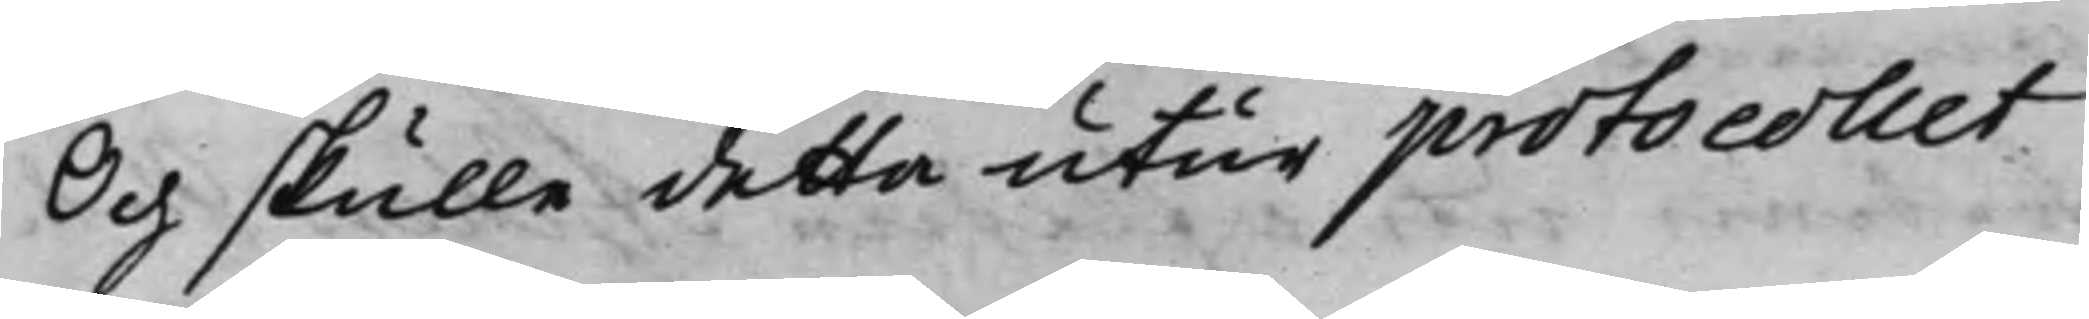Och skulle detta utur protocollet
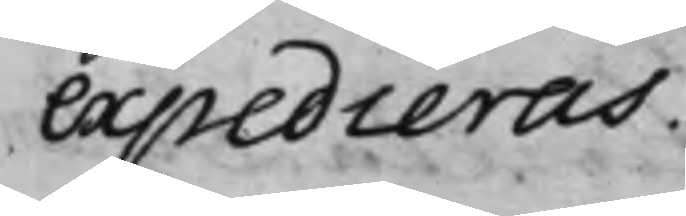expedieras.
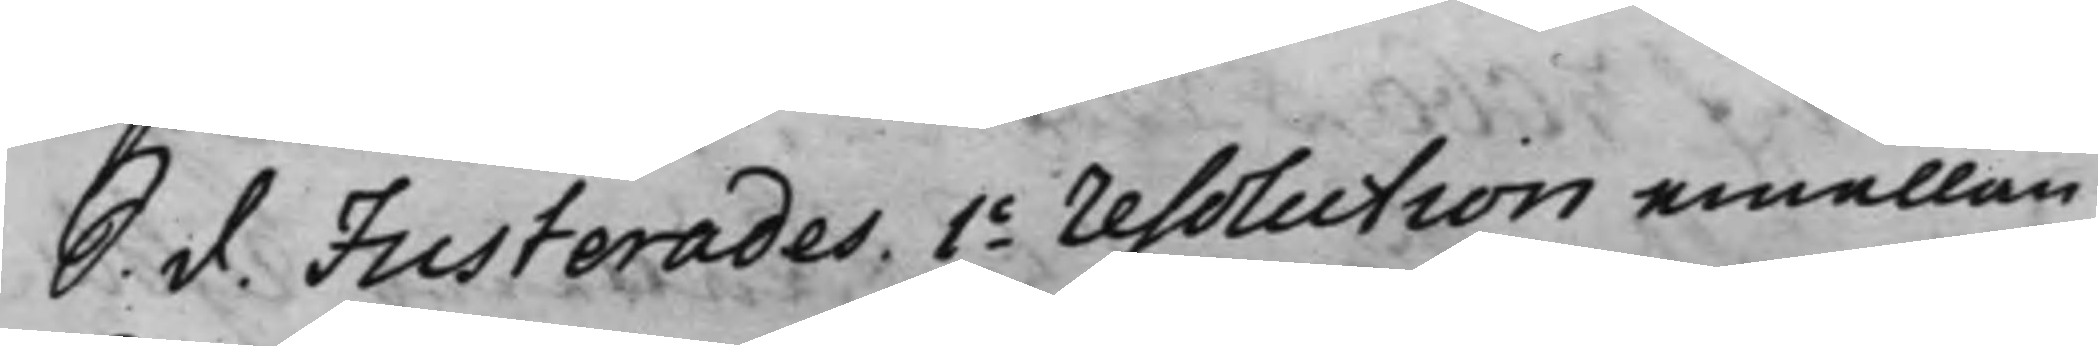S. d. Justerades 1o resolution emellan
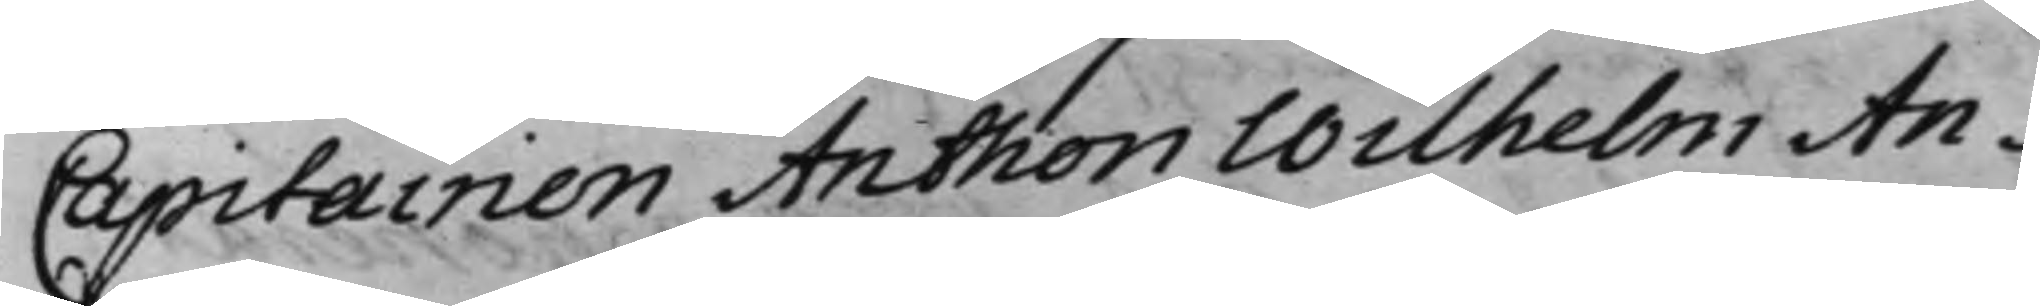Capitainen Anthon Wilhelm An¬
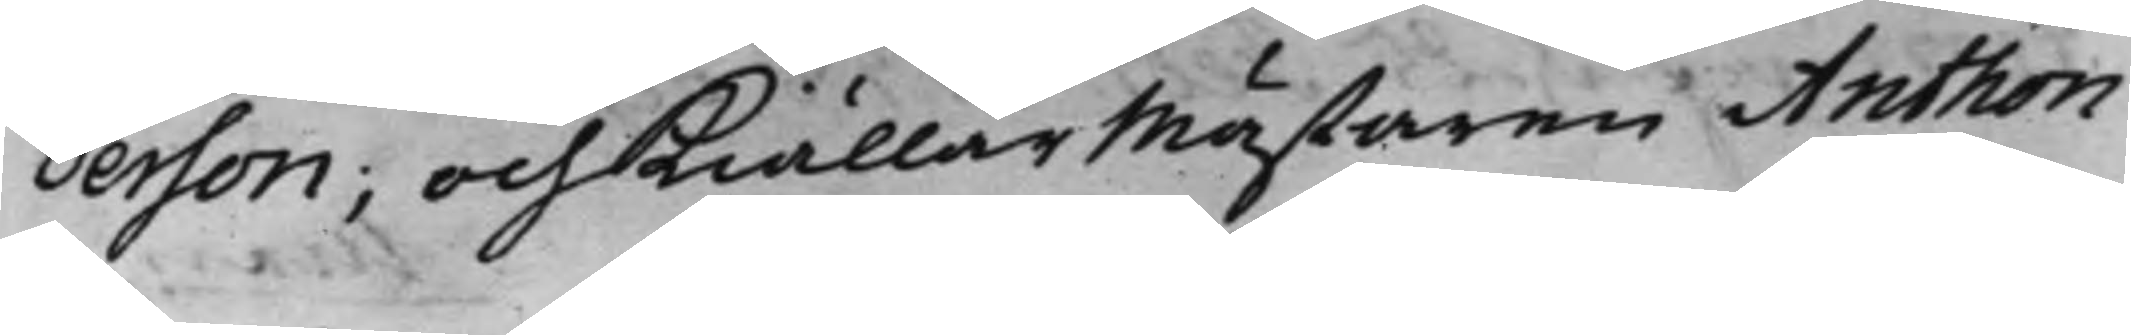derson; och Kiällarmästaren Anthon
